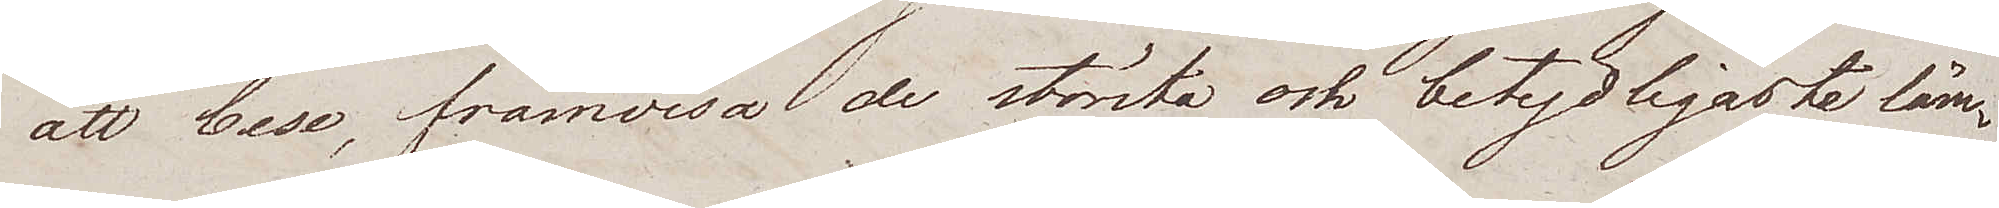att bese, framvisa de största och betydligaste läm¬
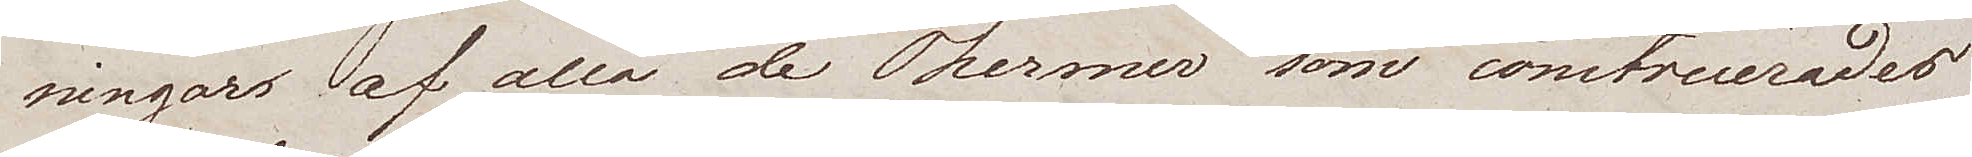ningars af alla de Thermer som construerades
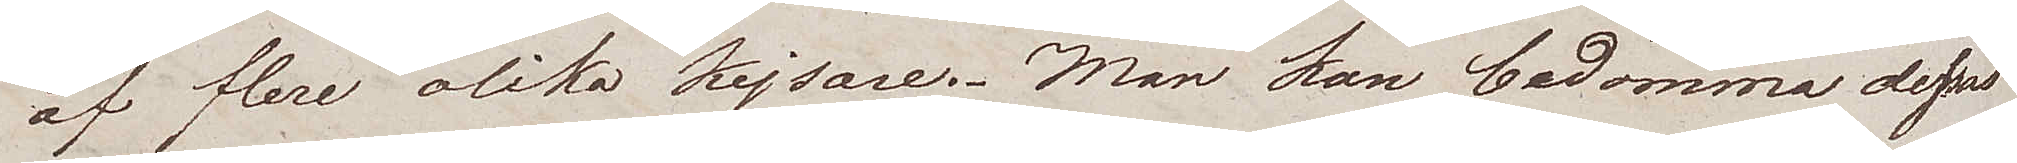af flere olika kejsare. Man kan bedömma dessas
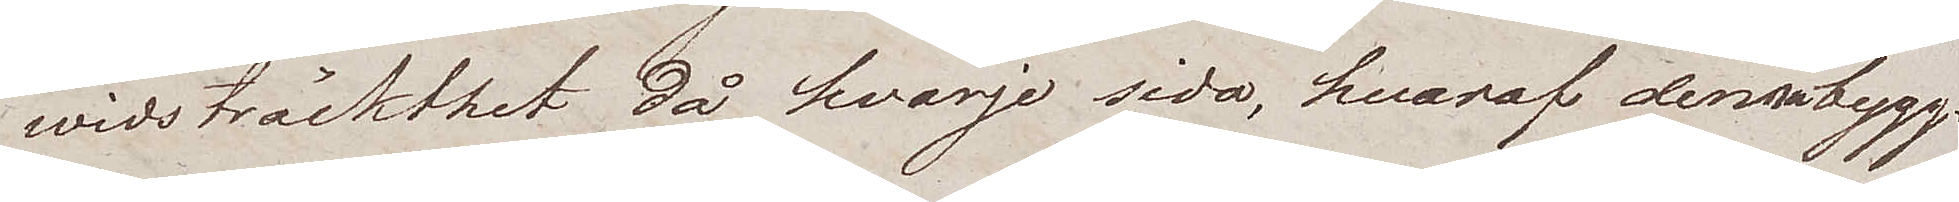widsträckthet då hvarje sida, hvaraf denna byggt¬
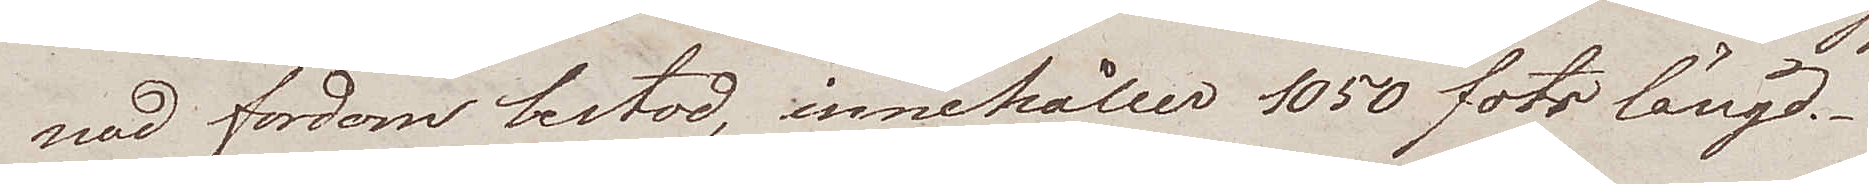nad fordom bestod, innehåller 1050 fots längd.
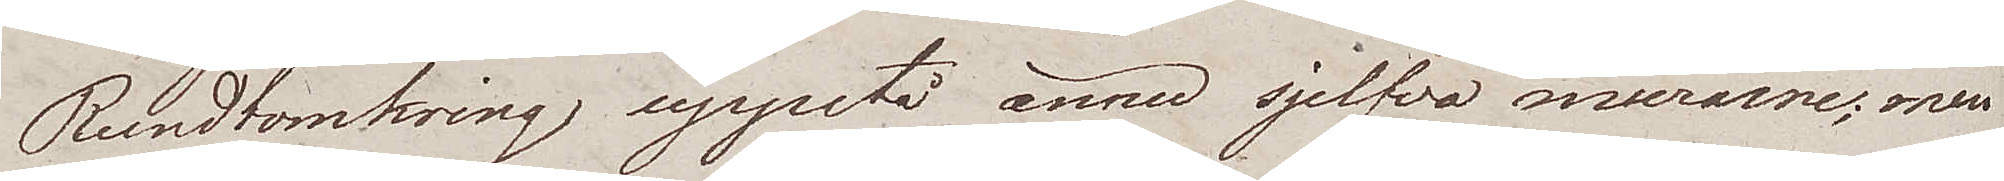Rundtomkring uppstå ännu sjelfva murarne; men
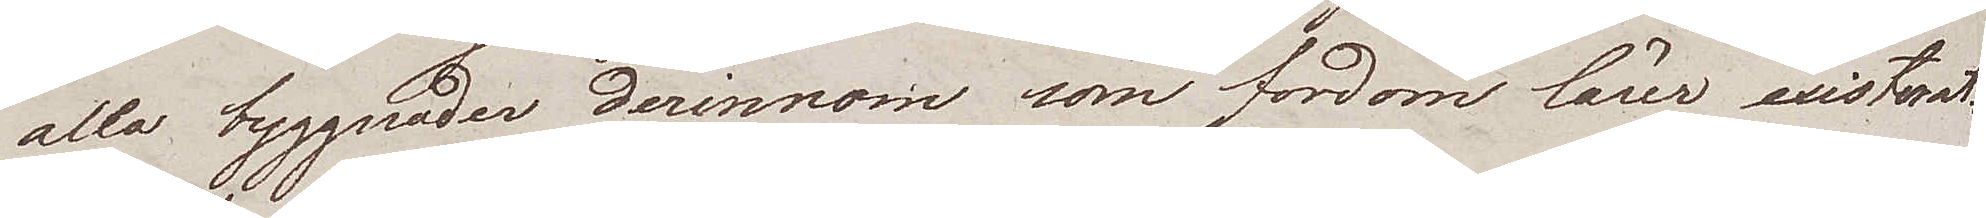alla byggnader derinnom som fordom lärer existerat
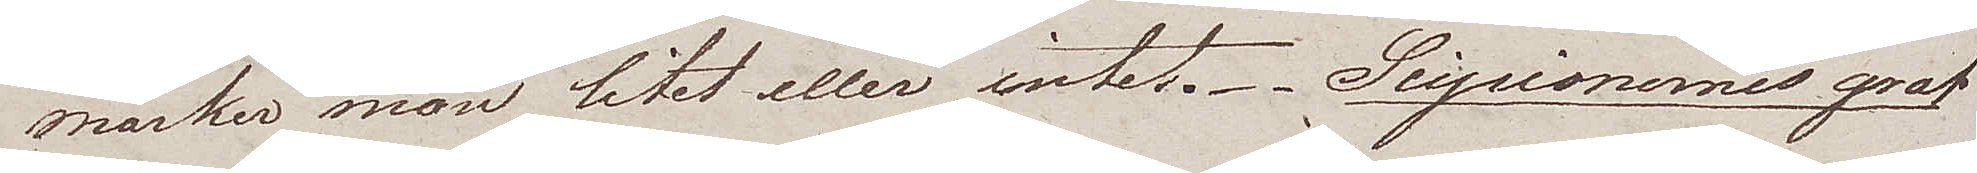märker man litet eller intet. Scipionernes graf
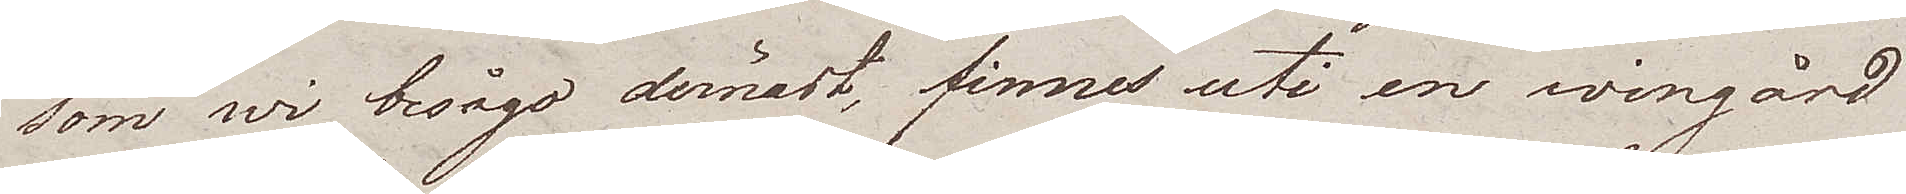som wi besågo dernäst, finnes uti en wingård
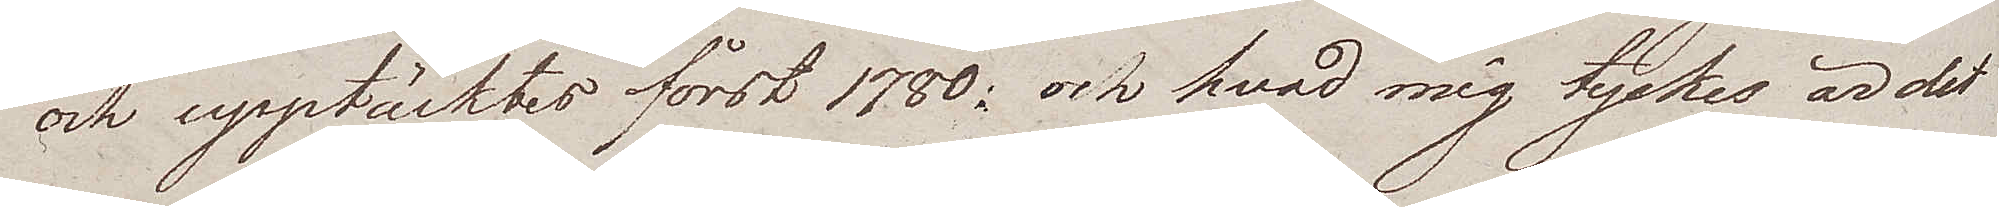och upptäcktes först 1780; och hvad mig tyckes är det
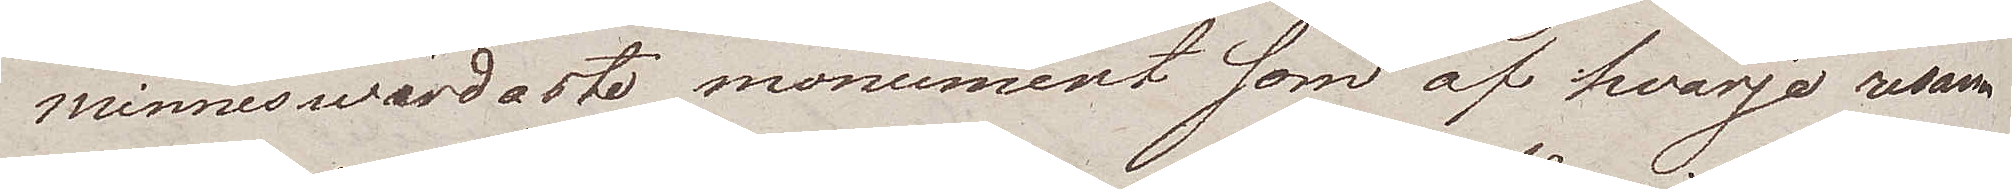minneswärdaste monument som af hvarje resan¬
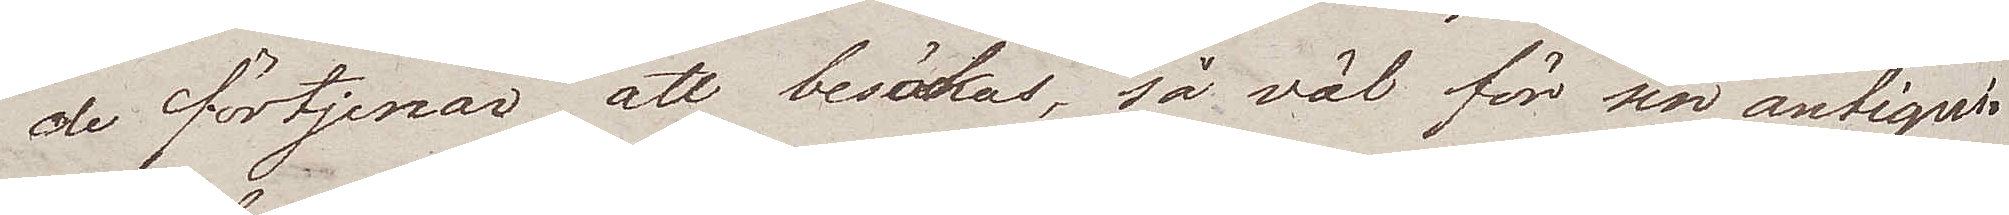de förtjenar att besökas, så väl för sin antiqui¬
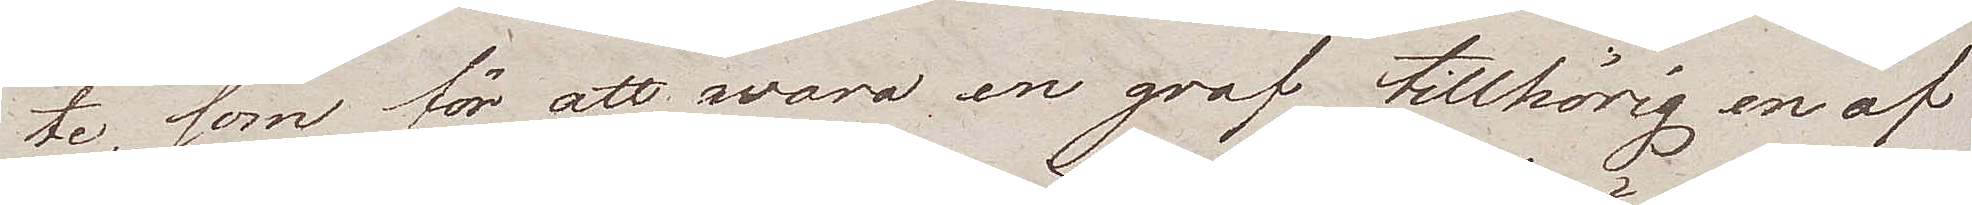te, som för att wara en graf tillhörig en af
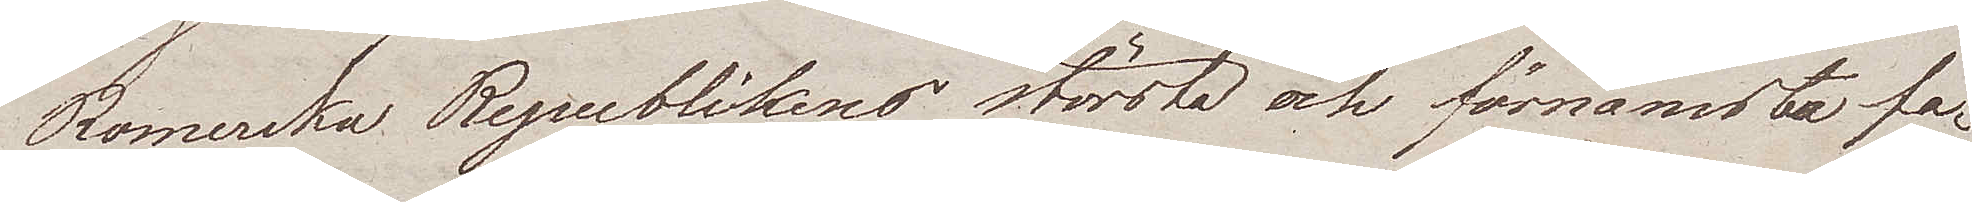Romerska Republikens största och förnämsta fa¬
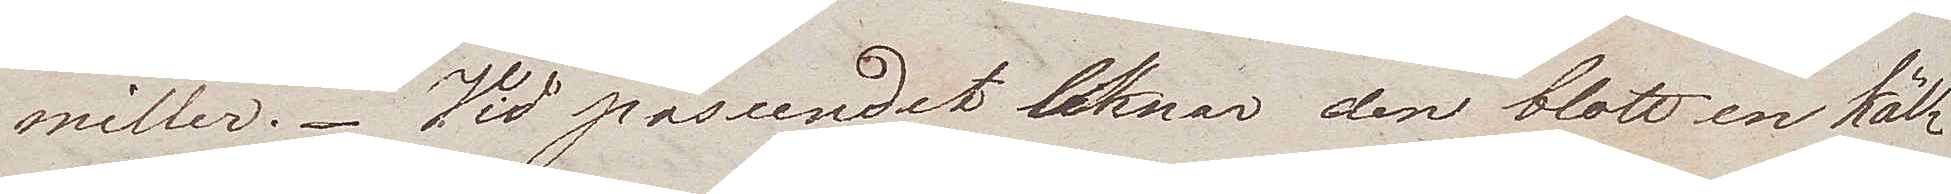miller. Vid påseendet liknar den blott en käll¬
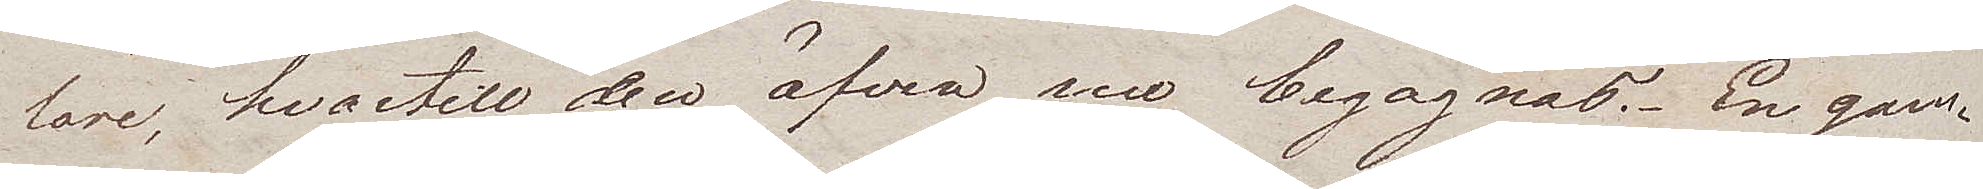lare, hvartill den äfven sen begagnas. En gam¬
